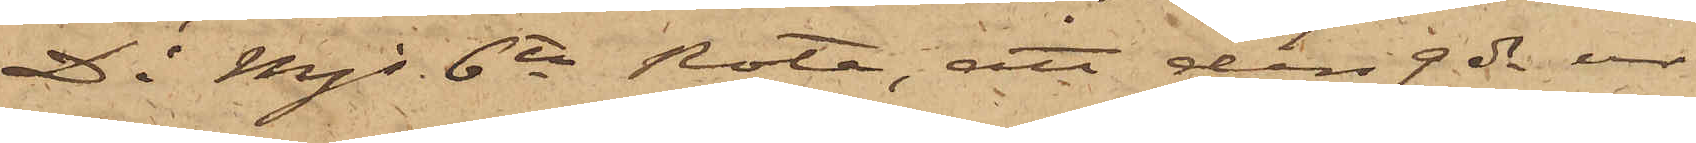D i Mjs 6te Rote, att den 9 ds ur
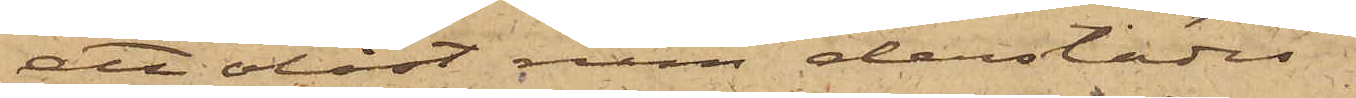att olåst rum derstädes
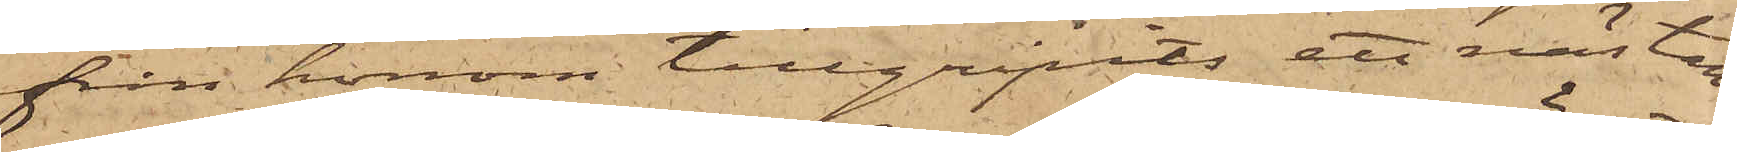från honom tillgripits ett nästan
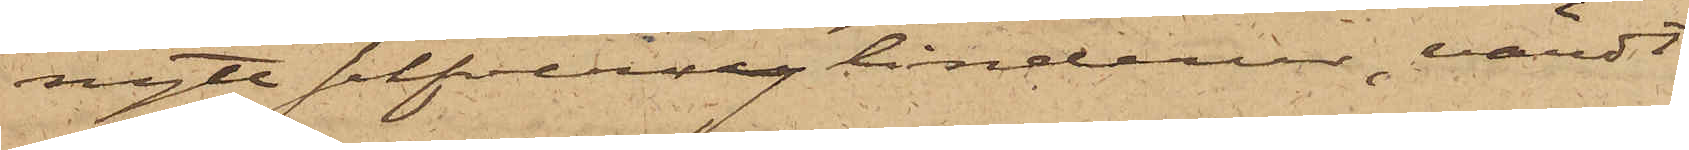nytt silfvercylinderur, värdt
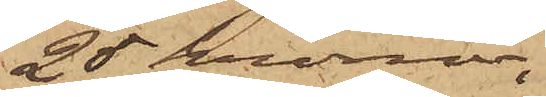25 kronor;
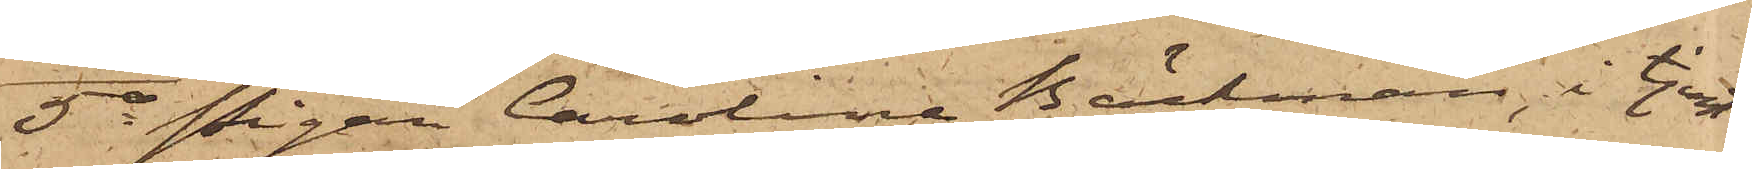5o Pigan Carolina Bäckman, i tjenst
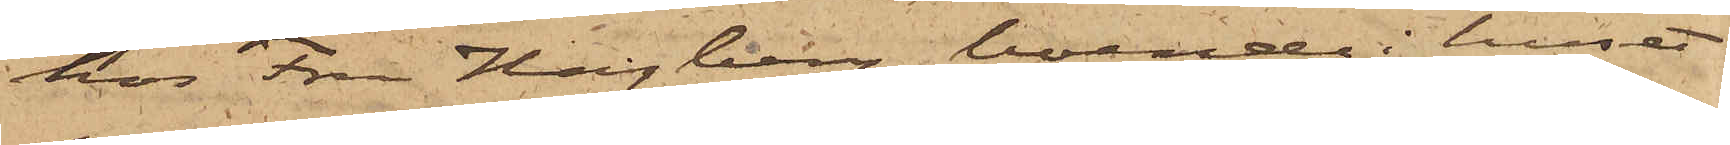hos Fru Hagberg, boende i huset
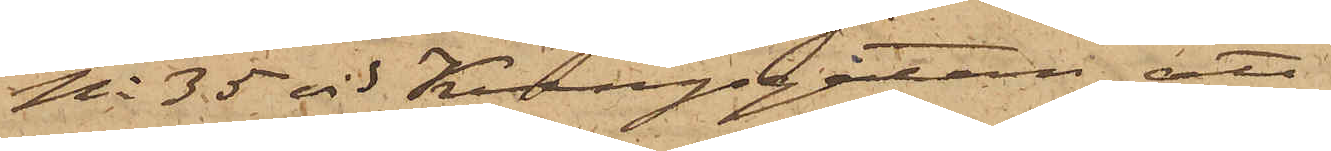No 35 vid Kungsgatan, att
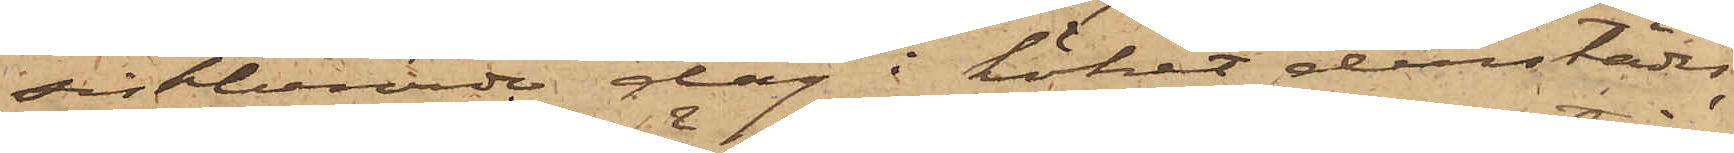sistberörde dag i köket derstädes
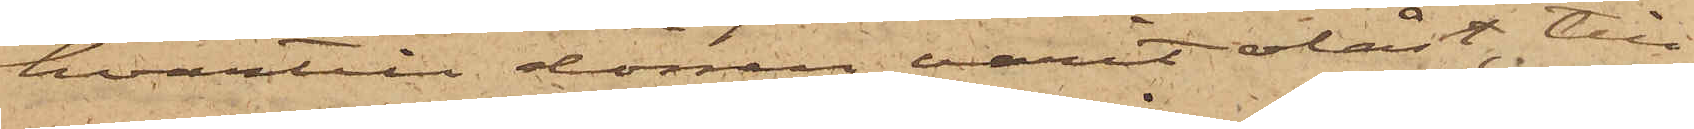hvartill dörren varit olåst, till¬
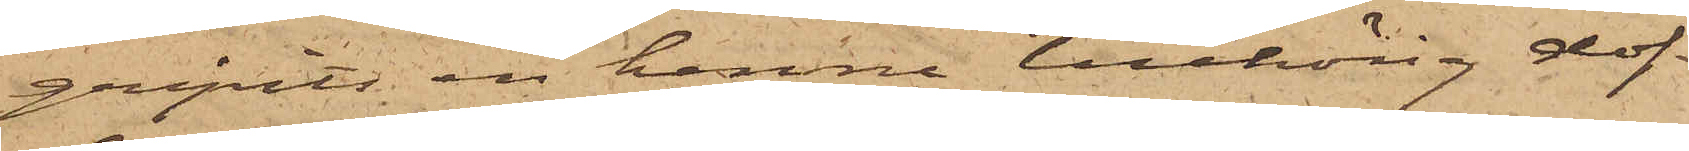gripits en henne tillhörig dof¬
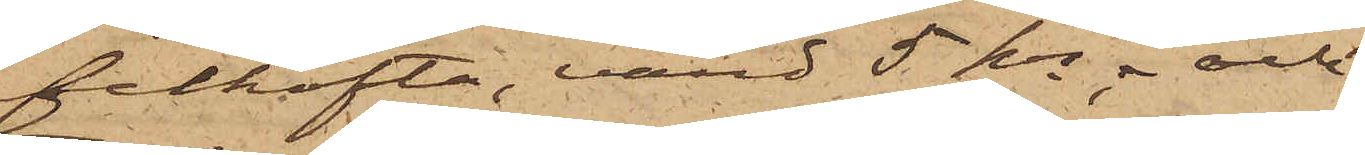felkofta, värd 5 kr; och
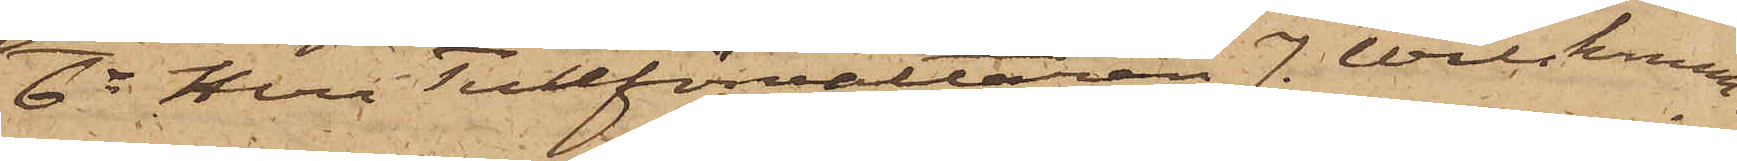6o Herr Tullförvaltaren J. Wilskman,
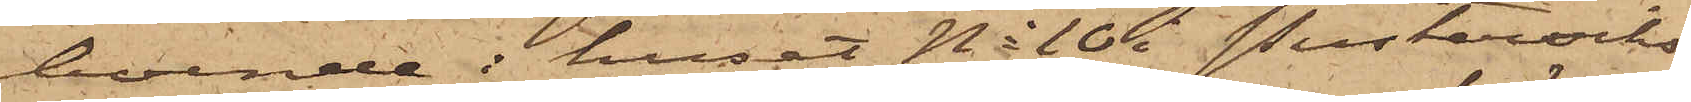boende i huset No 10 i Pusterviks¬
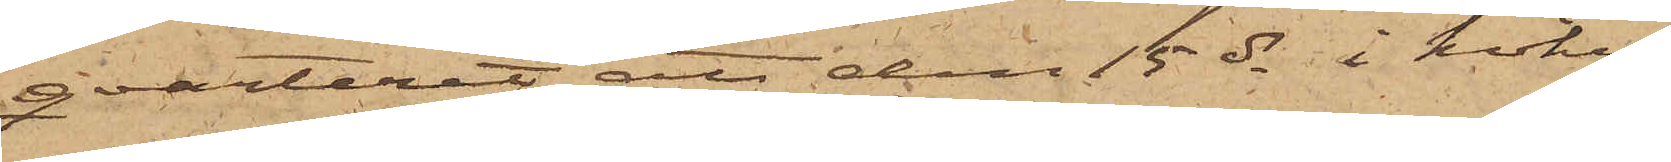qvarteret att den 15 ds i köket
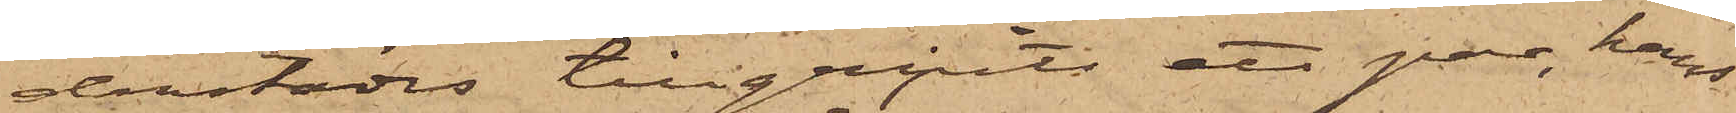derstädes tillgripits ett par, hans
